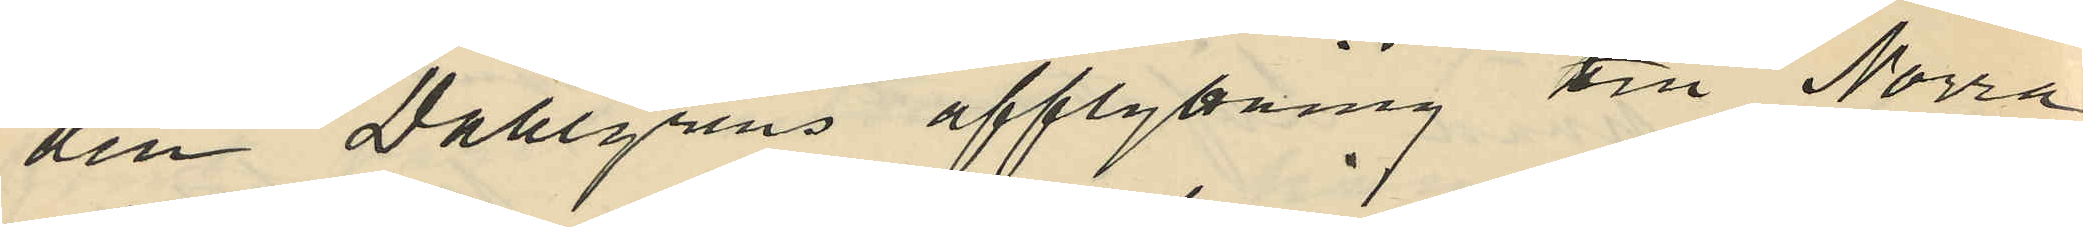den Dahlgrens afflyttning till Norra
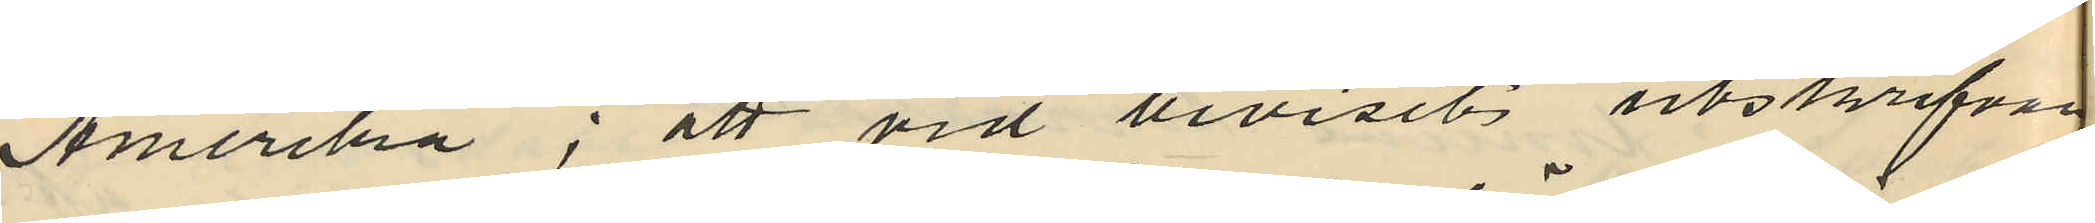Amerika; att vid beviset utskrifvan
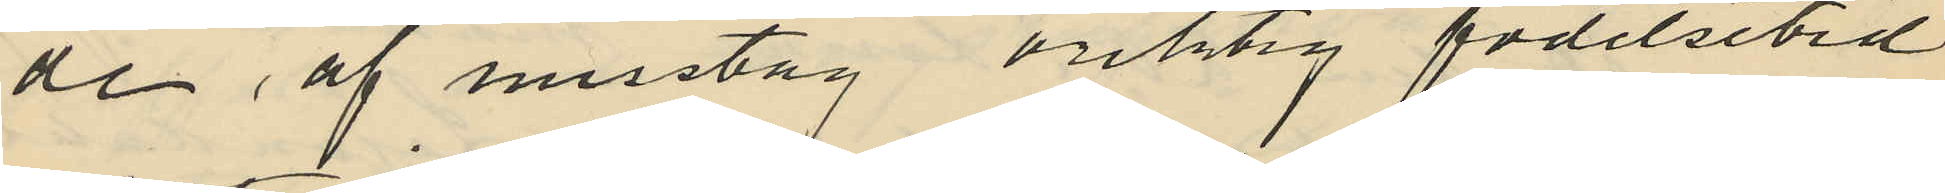de af misstag oriktig födelsetid
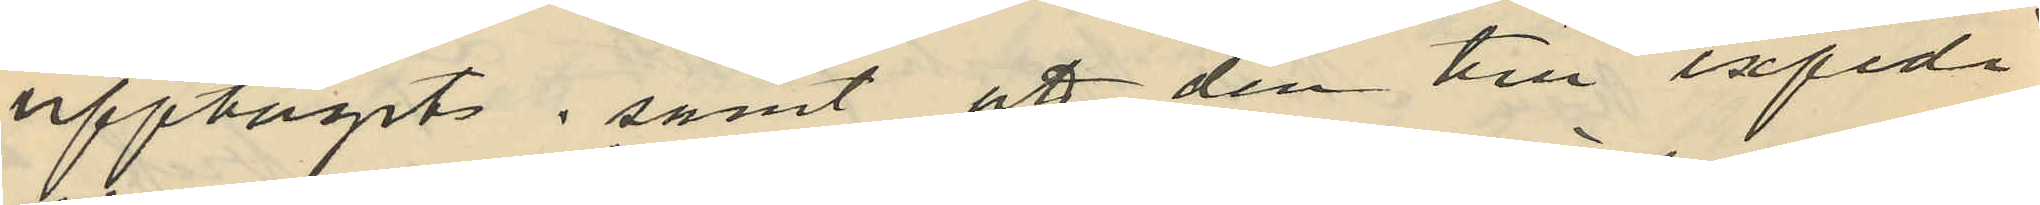upptagits, samt att den till expedi
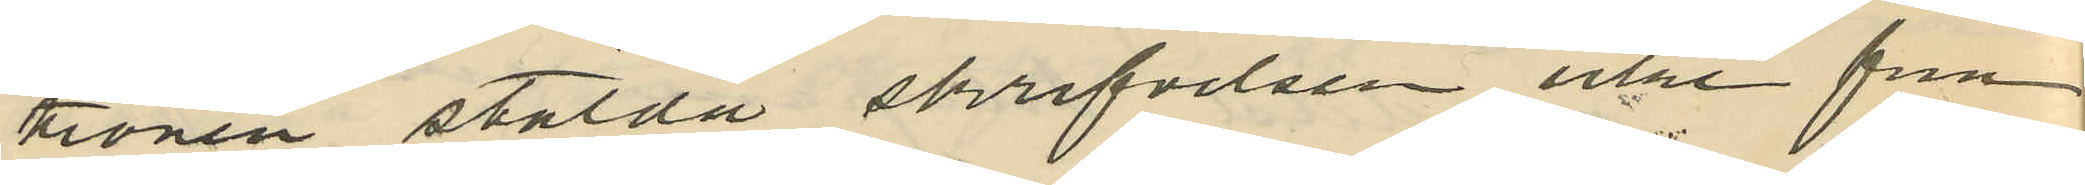tionen stälda skrifvelsen icke fin
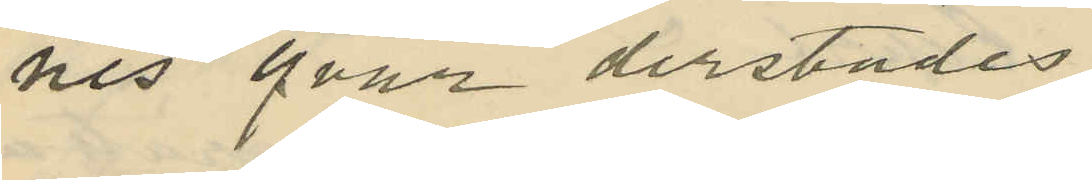nes qvar derstädes
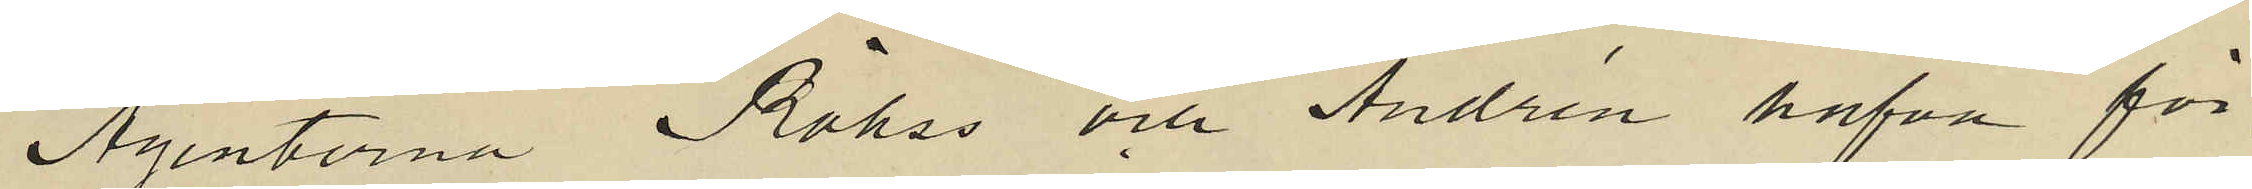Agenterna Röhss och Andrén hafva för¬
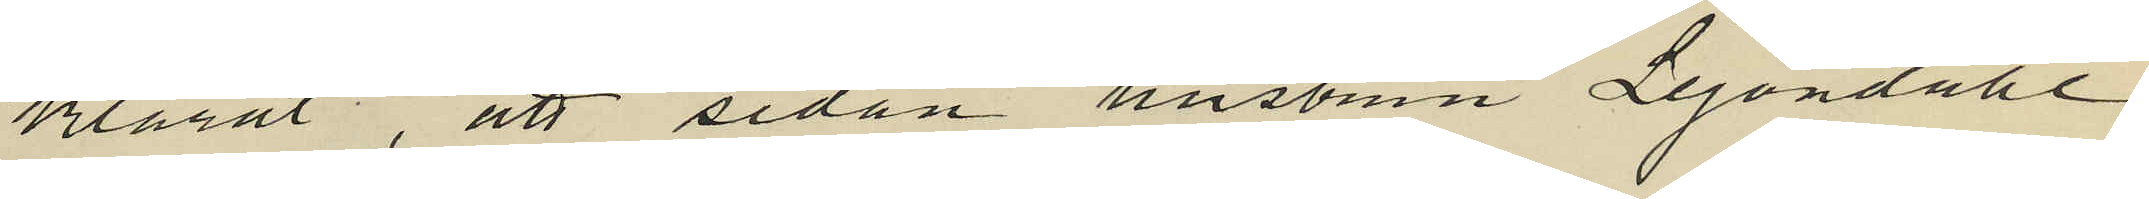klarat, att sedan hustrun Lejondahl
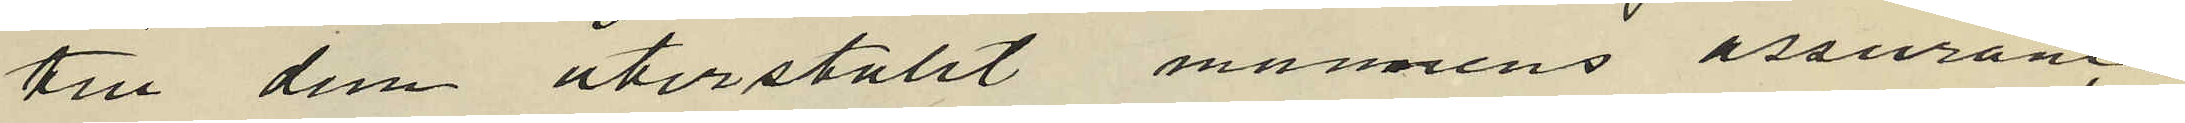till dem återställt mannens assurance
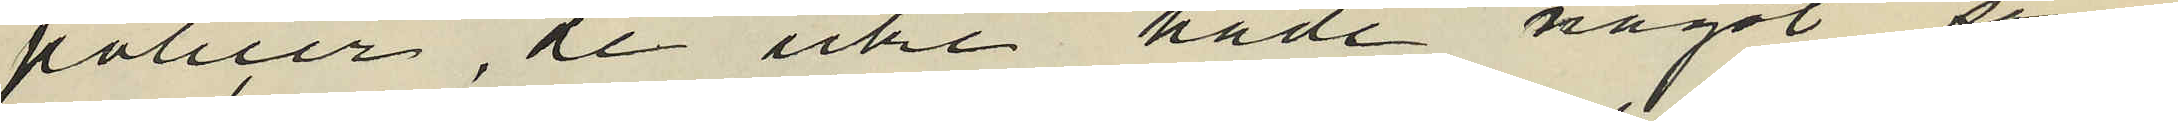policer, de icke hade något som
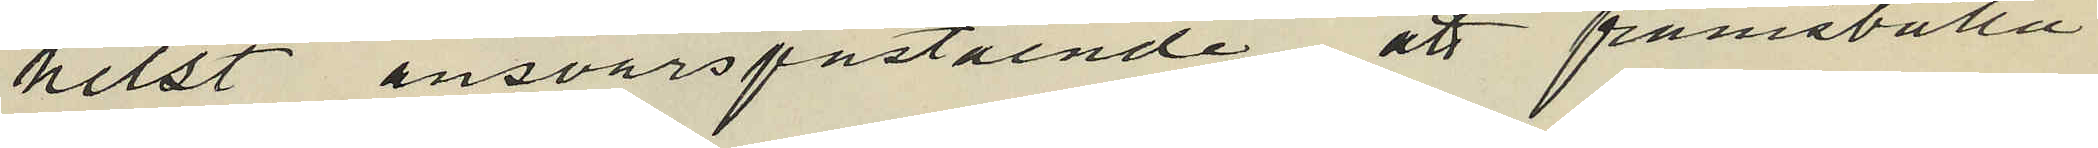helst ansvarspåstående att framställa i
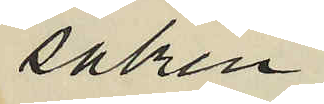saken.
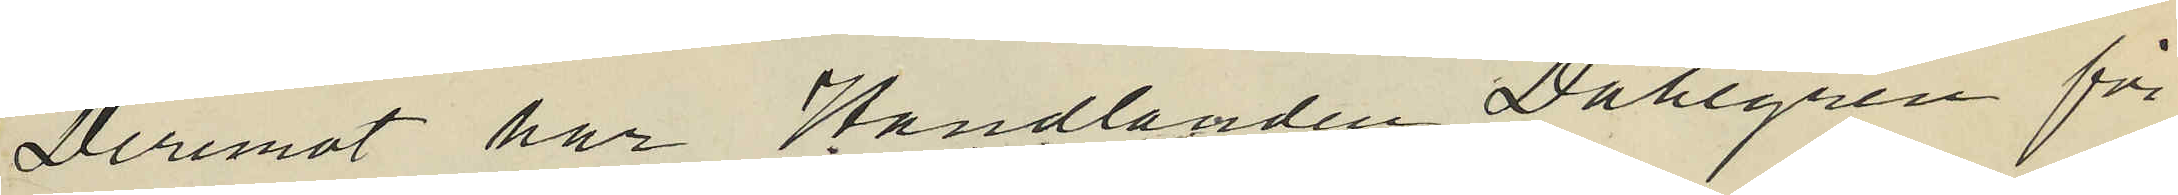Deremat har Handlanden Dahlgren för
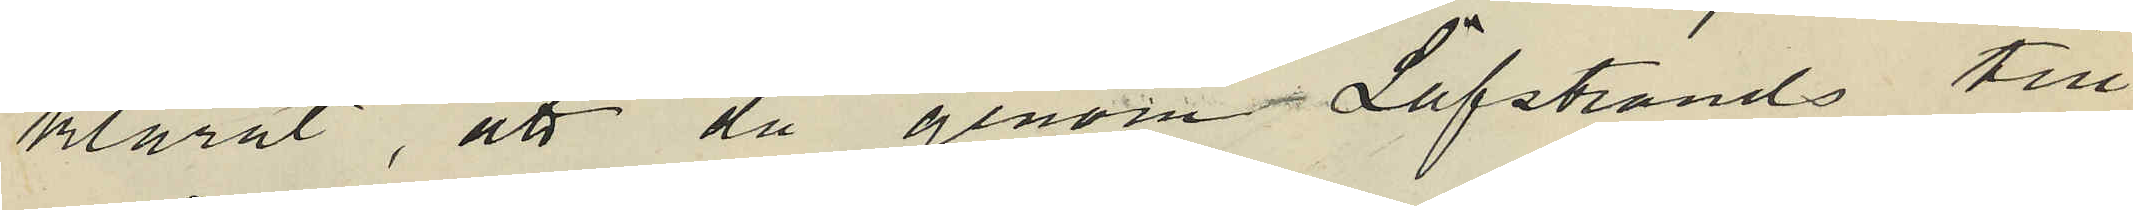klarat, att då genom Löfstrands till
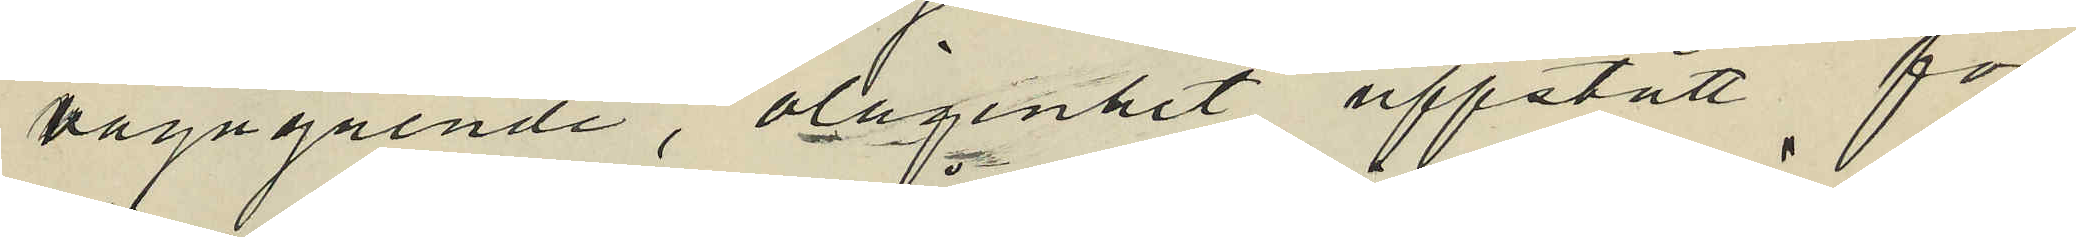vägagående, olägenhet uppstått för
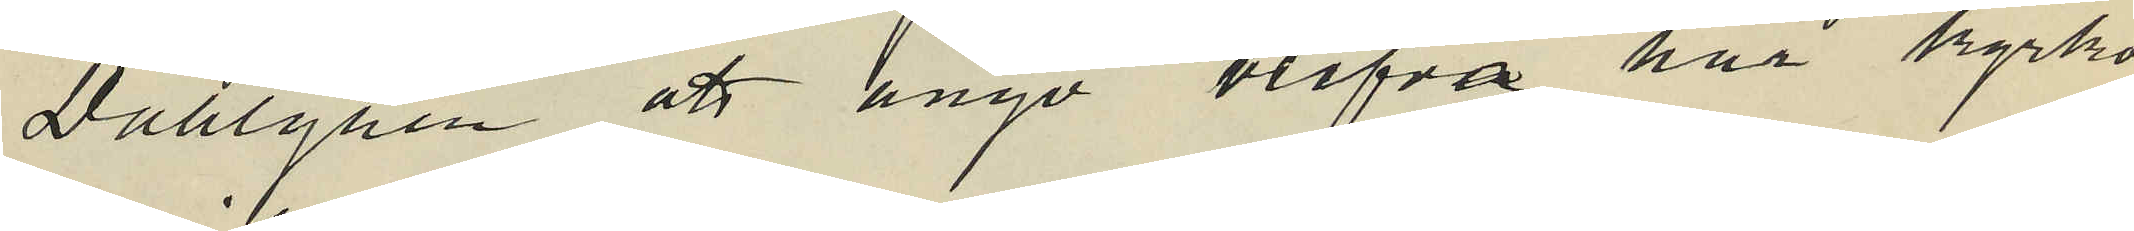Dahlgren att ånyo blifva här kyrko
